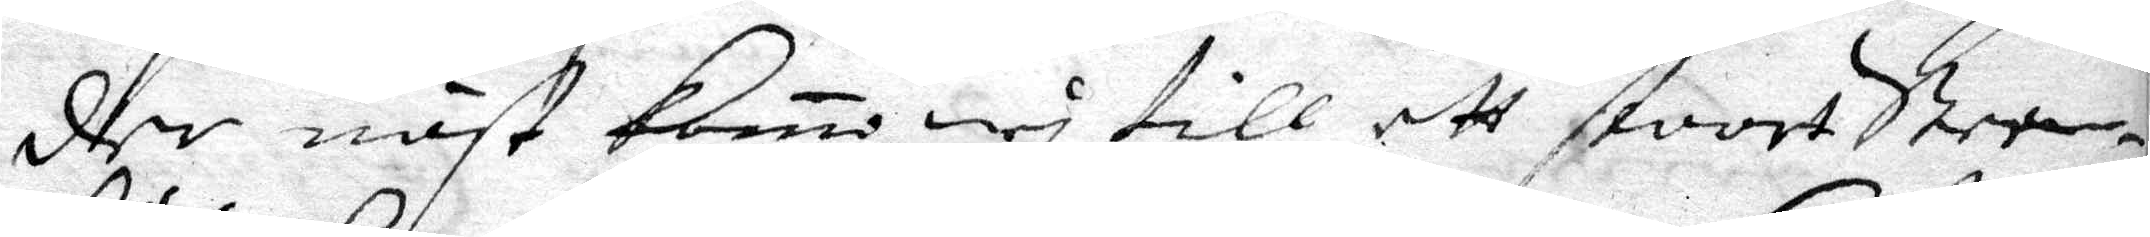dher näst komo wy till ett stoort Steen¬
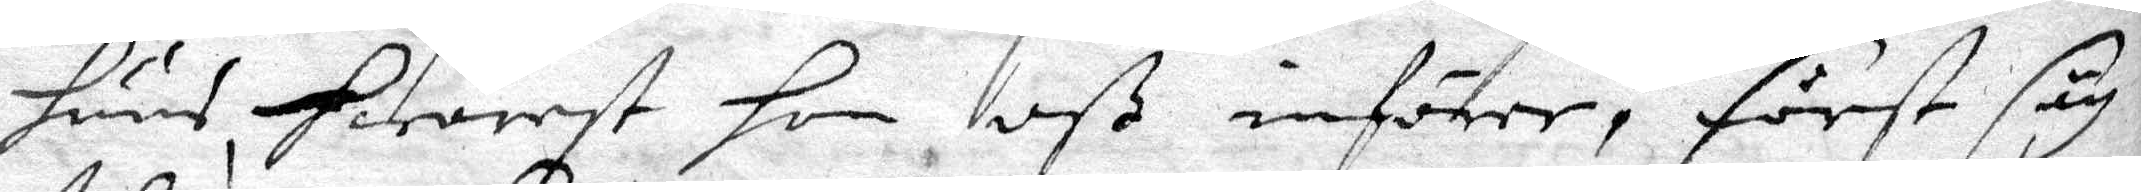huus hwarest hon oß införer, först såg
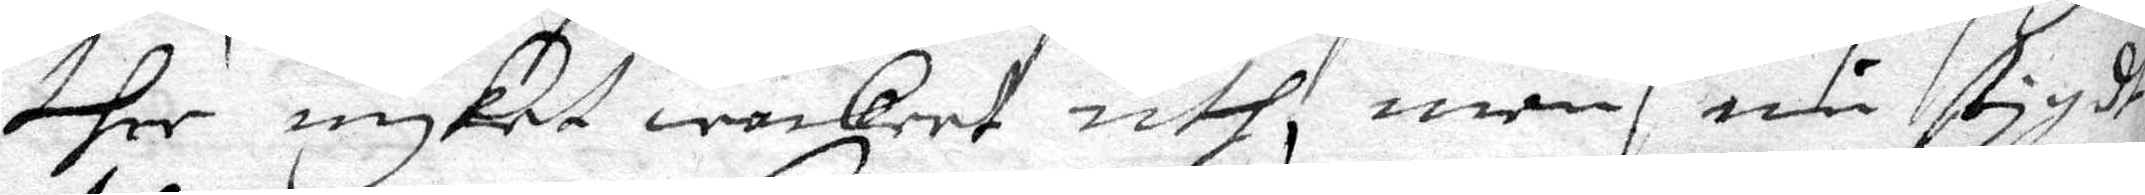ther myket wackert uth, men nu stygde
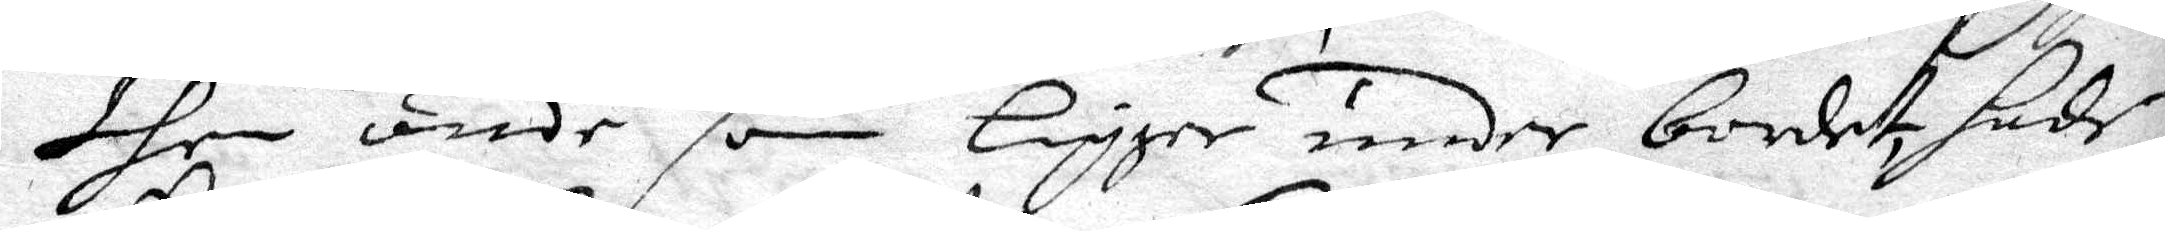dhen onde som ligger under bordet, hade
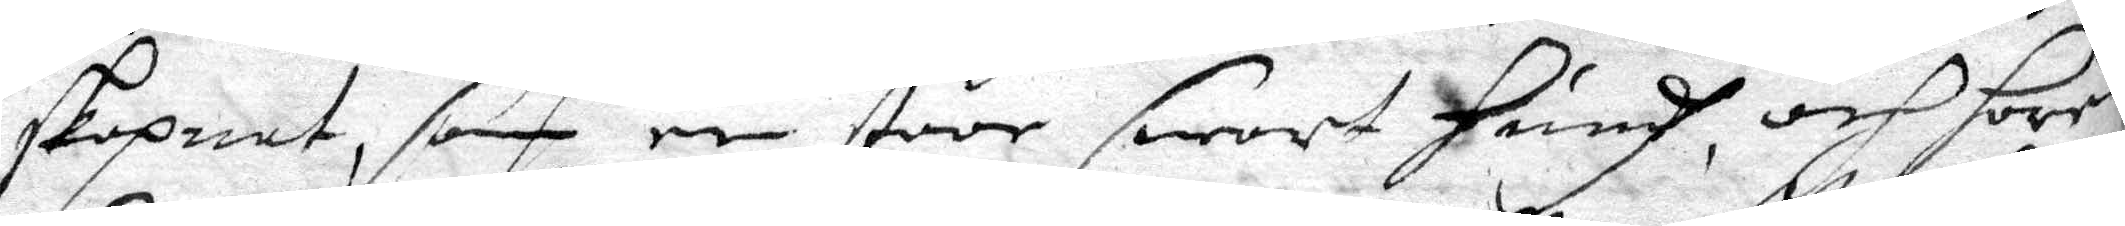skepnat, som en stoor swart hundh, och hoor
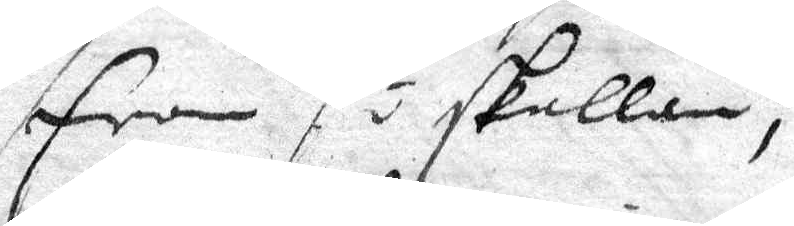fram så skallan, 
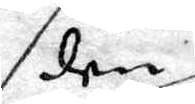den
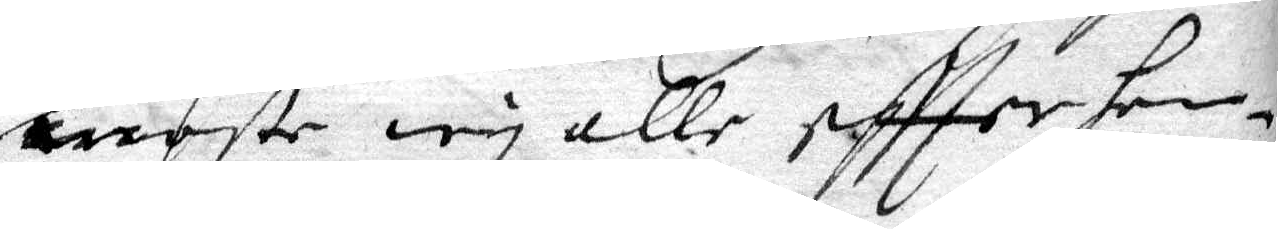moste wy alle eftter hen¬
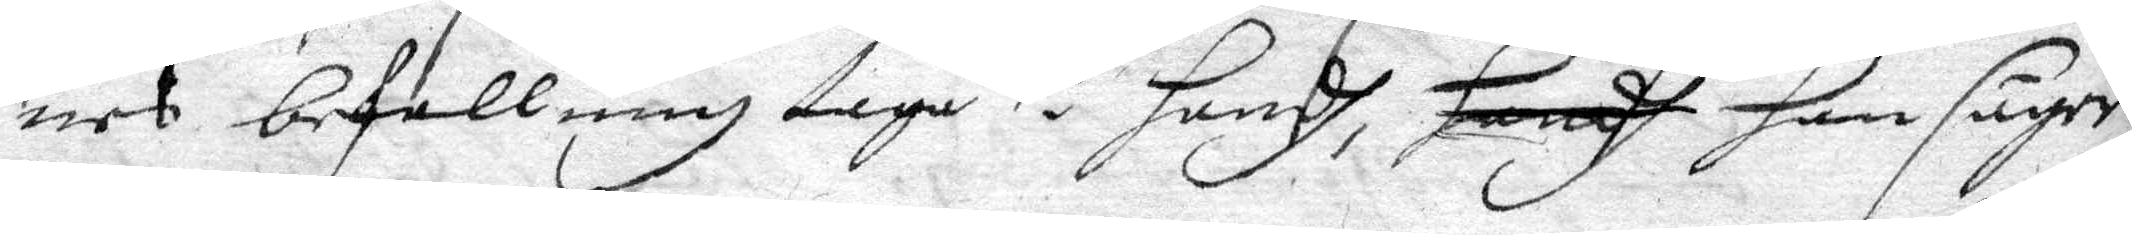nes befallning taga i handh, handh han säger
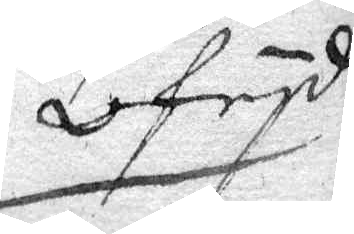ofrid
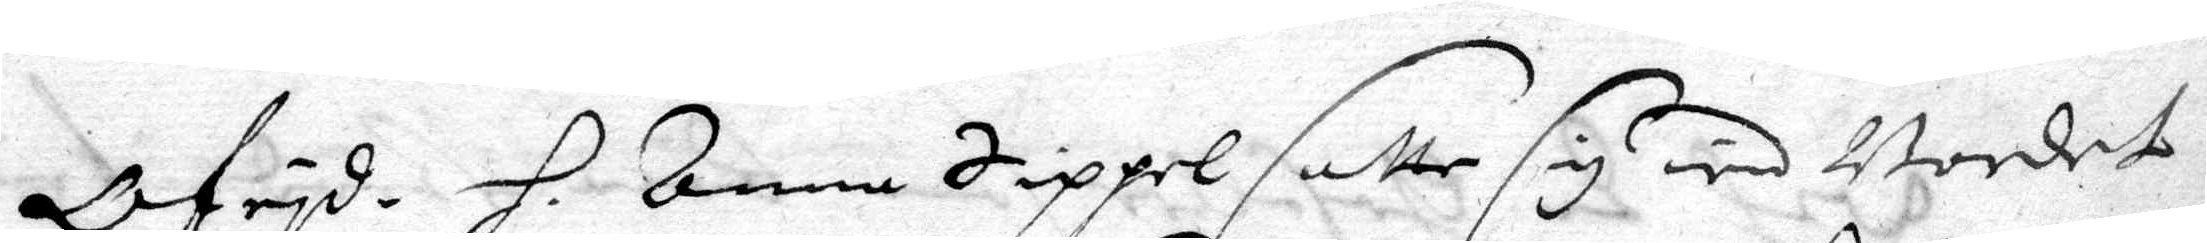Ofrid. H. Anna Zippel satte sig wid Bordet 
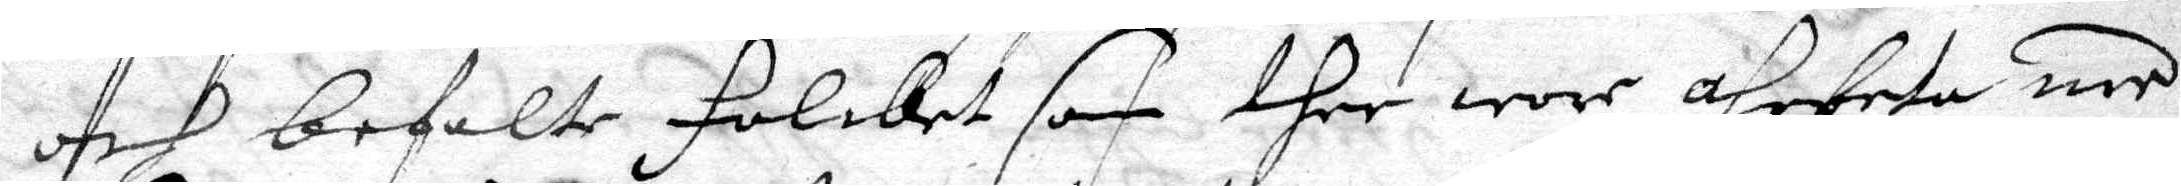och befalte Folcket som ther wore ahrbeta med
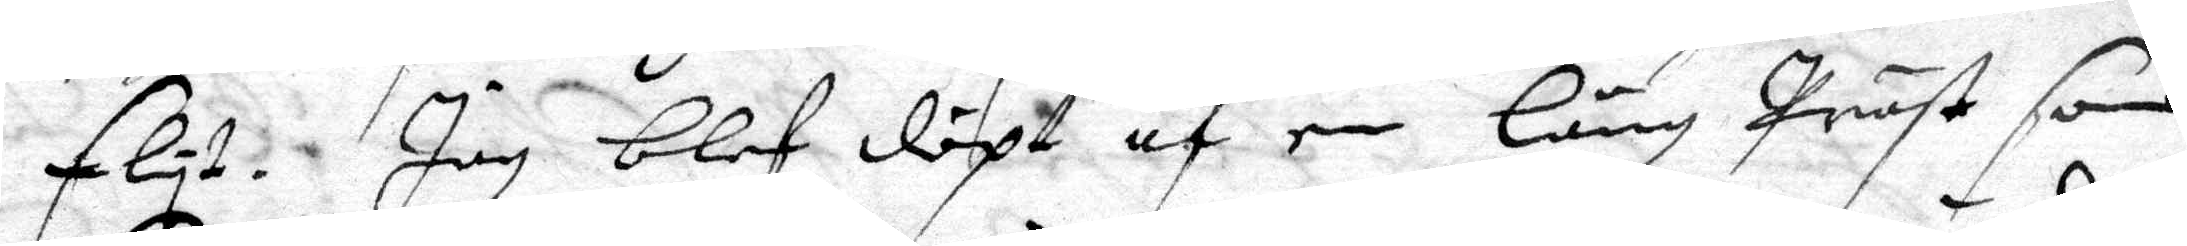flyt. Jag blef döpt af en lång Präst som
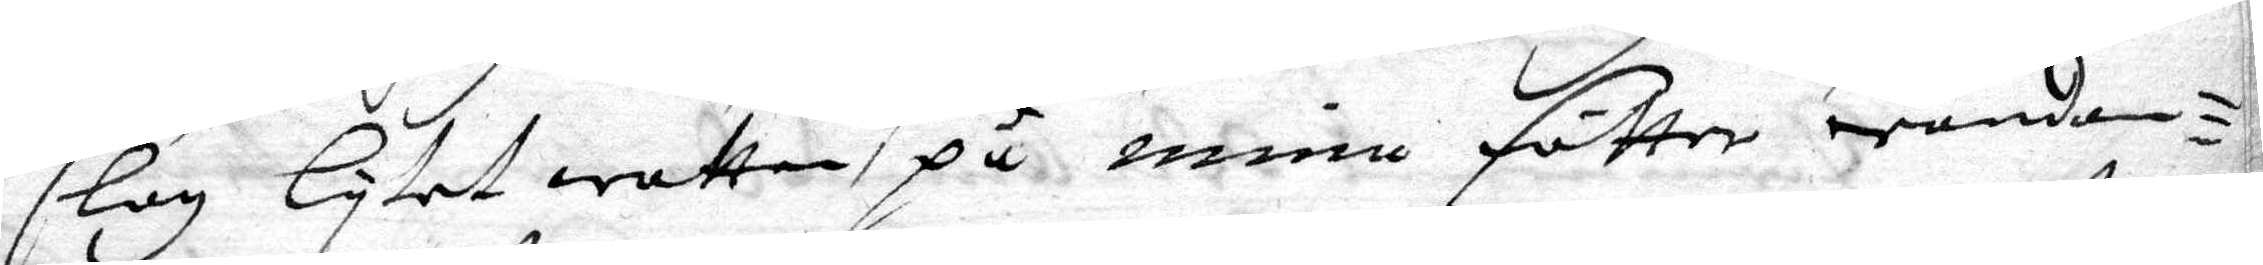slog lytet watten på mine fötter wändan¬
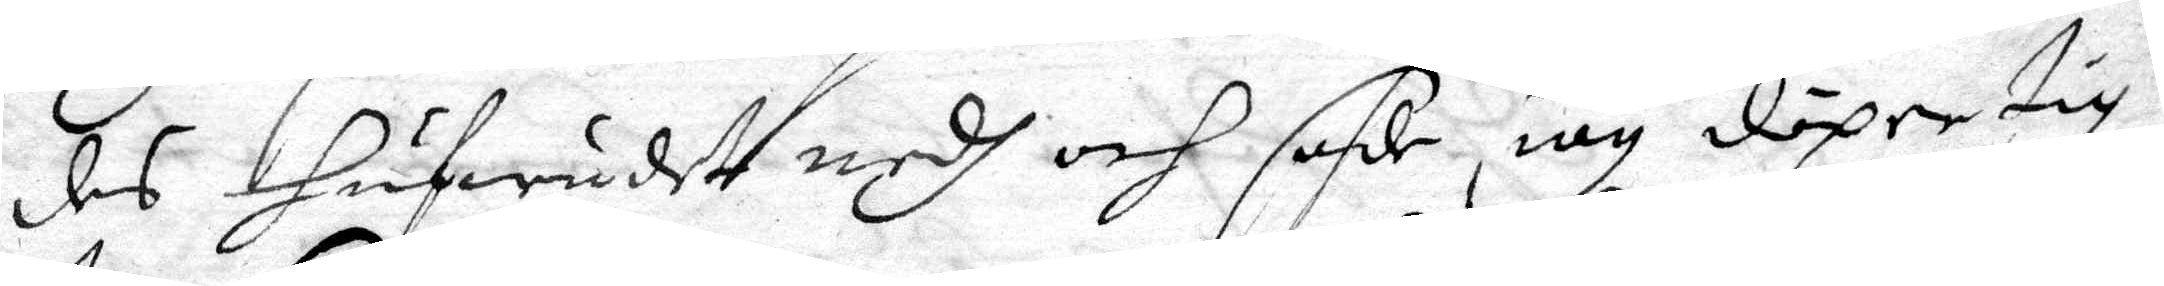des hufwudet nedh och sade iag döper tig
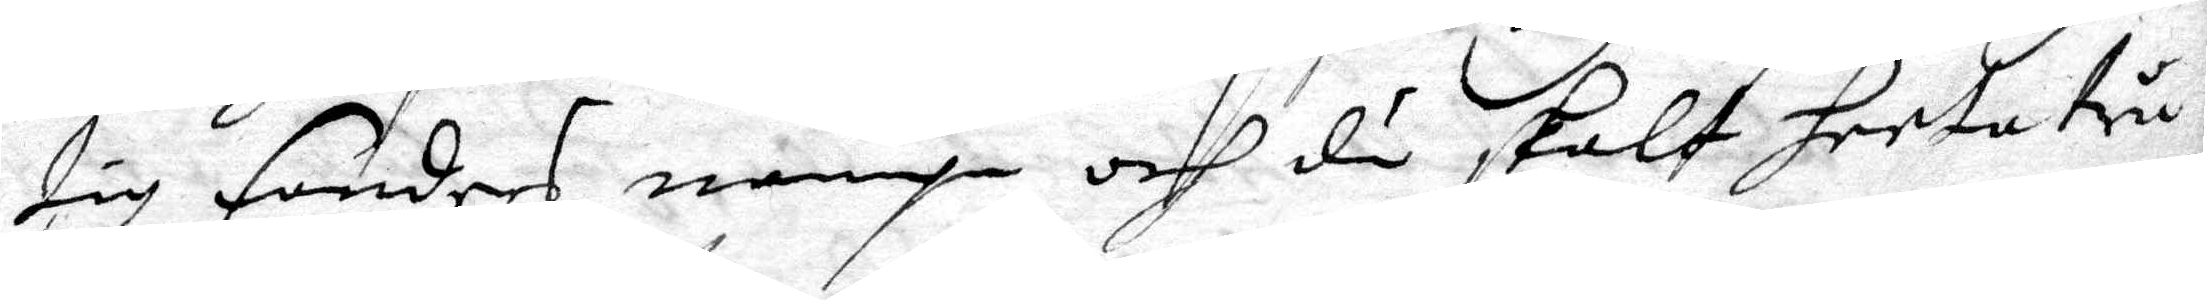tig fanders nampn och du skalt heeta tru
